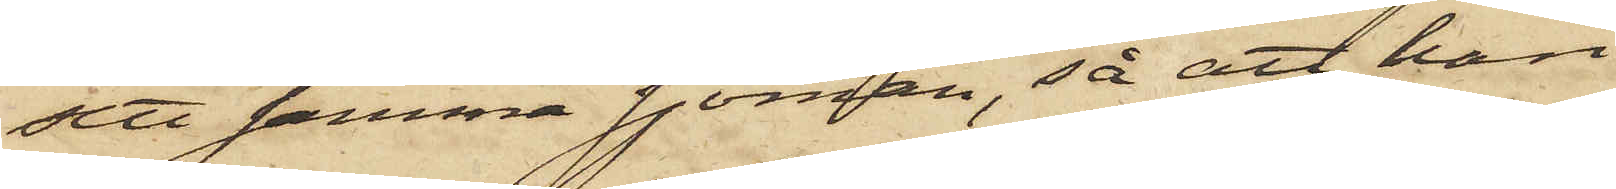sett samma sjöman, så att han
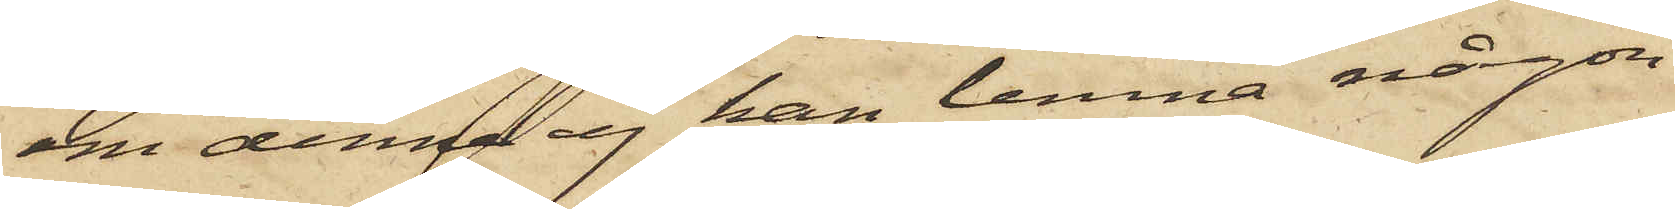om denna ej kan lemna någon
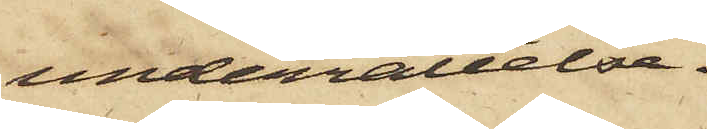underrättelse.
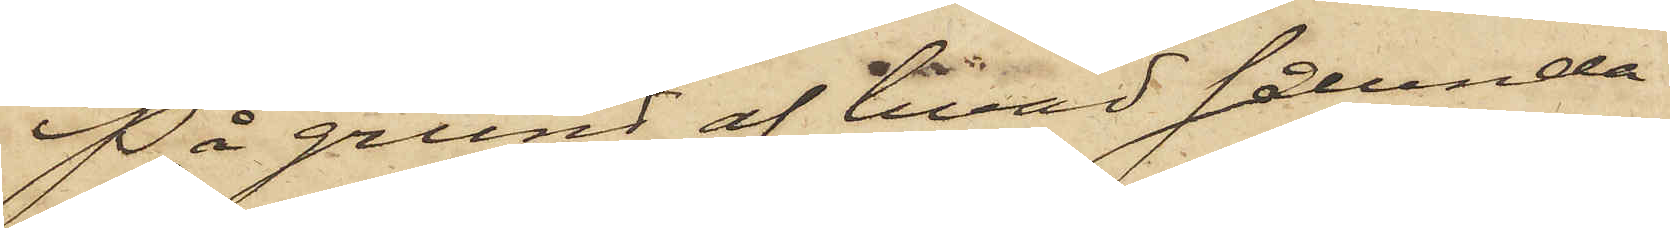På grund af hvad sålunda
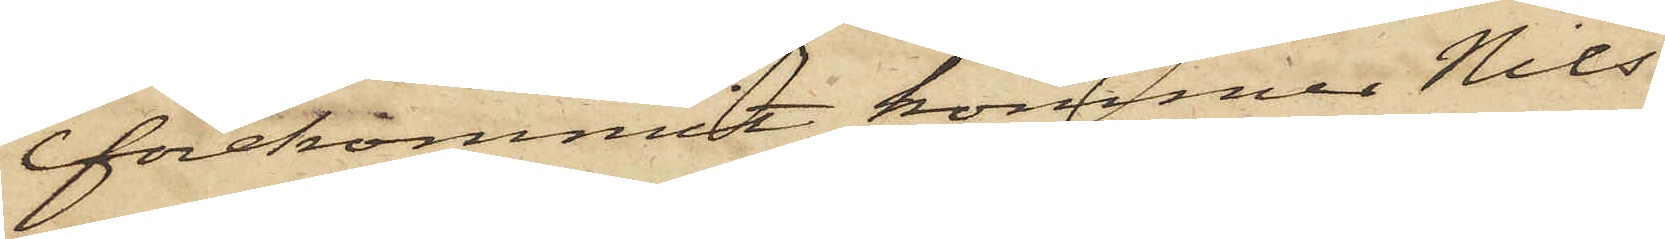förekommit, kommer Nils
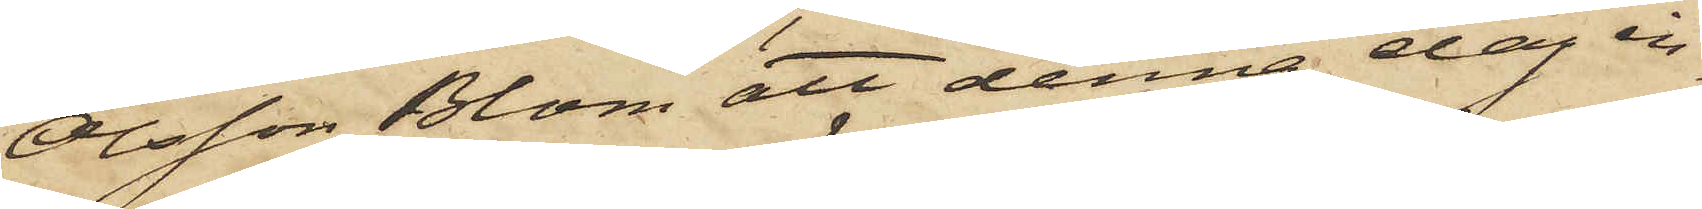Olsson Blom att denna dag in¬
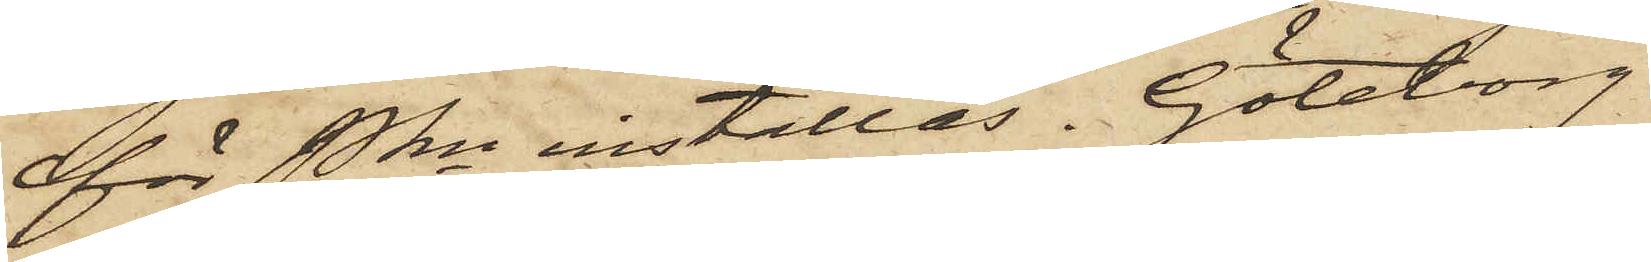för Pkn inställas. Göteborg
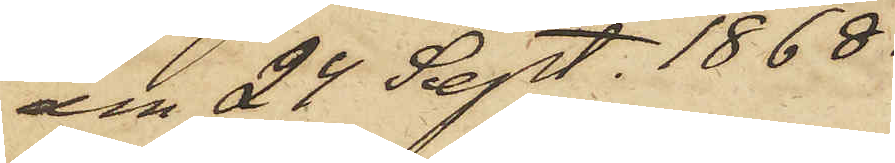den 24 Sept. 1868.
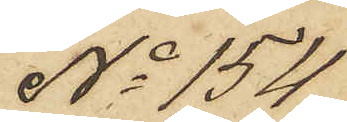No 154.
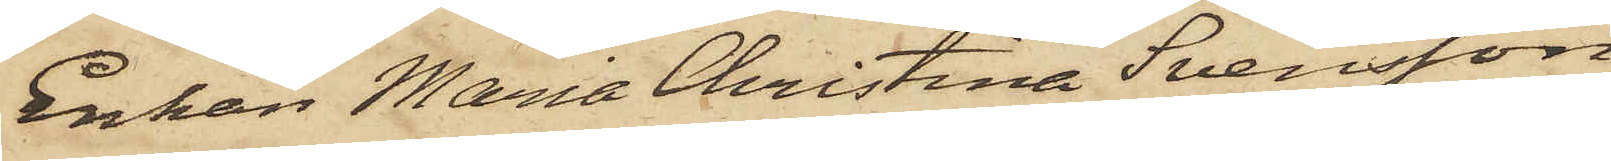Enkan Maria Christina Svensson,
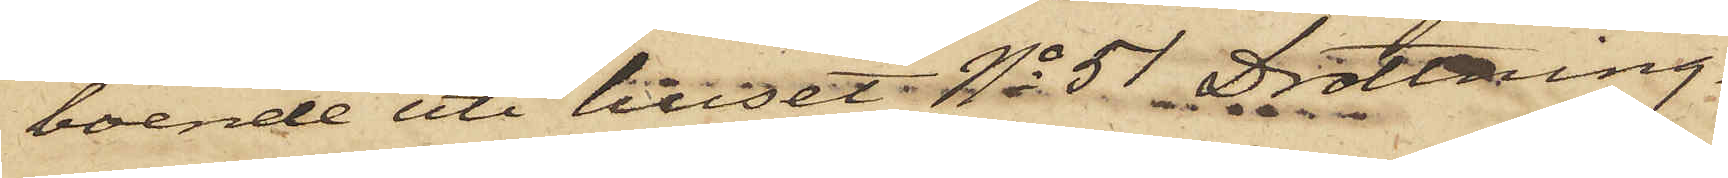boende uti huset No 51 Drottning¬
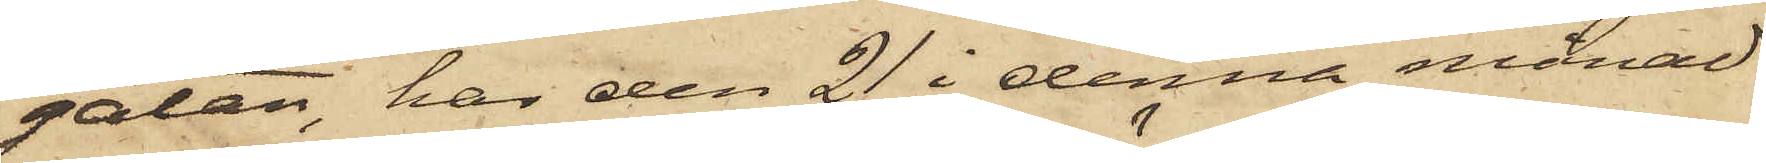gatan, har den 21 i denna månad
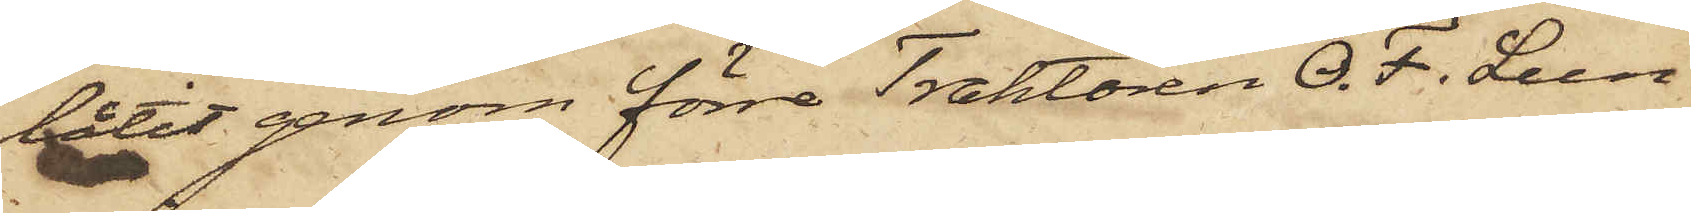låtit genom förre Traktören O. F. Lun¬
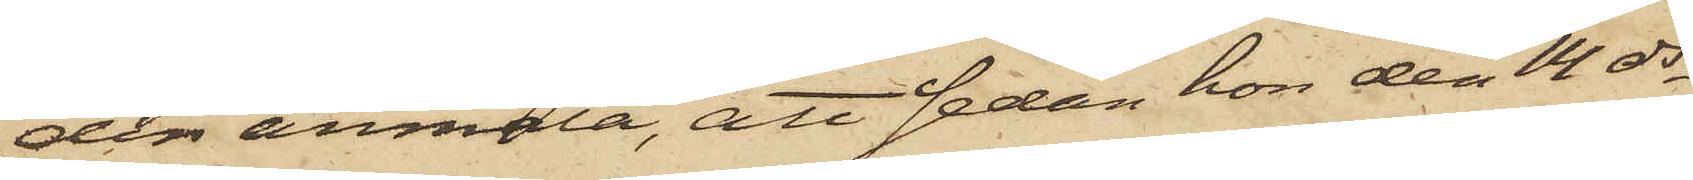din anmäla, att sedan hon den 14 ds
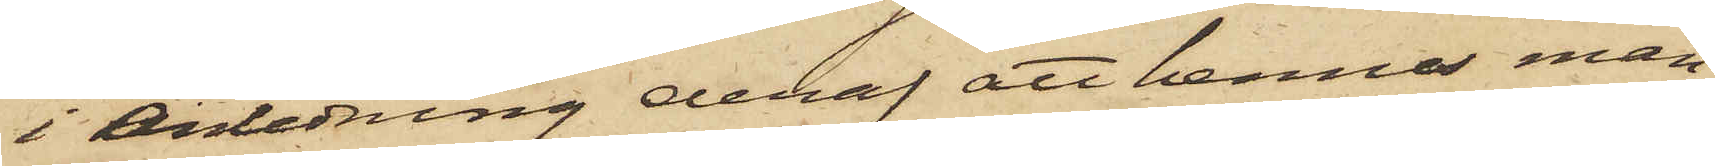i anledning deraf att henne man
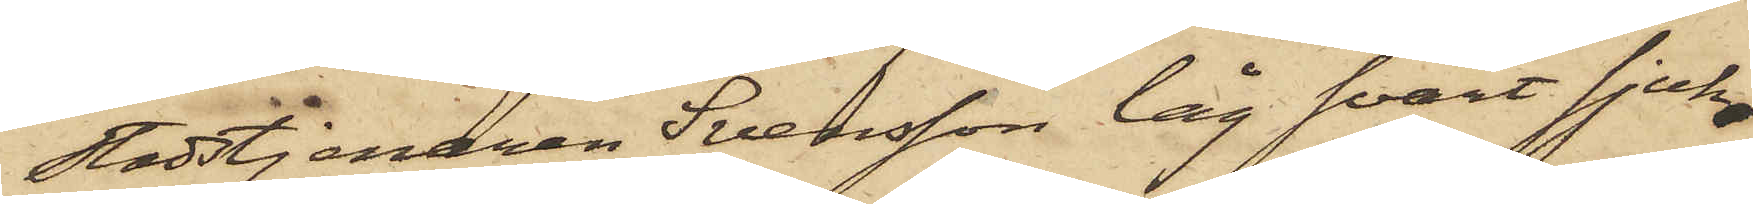Stadstjenaren Svensson låg svårt sjuk,
